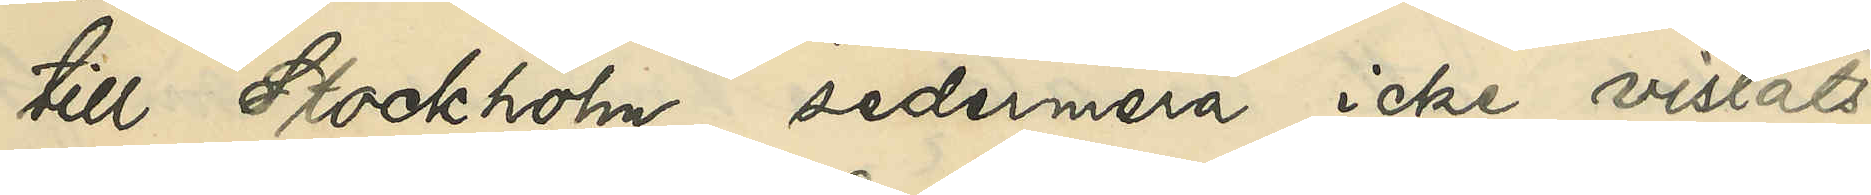till Stockholm, sedermera icke vistats
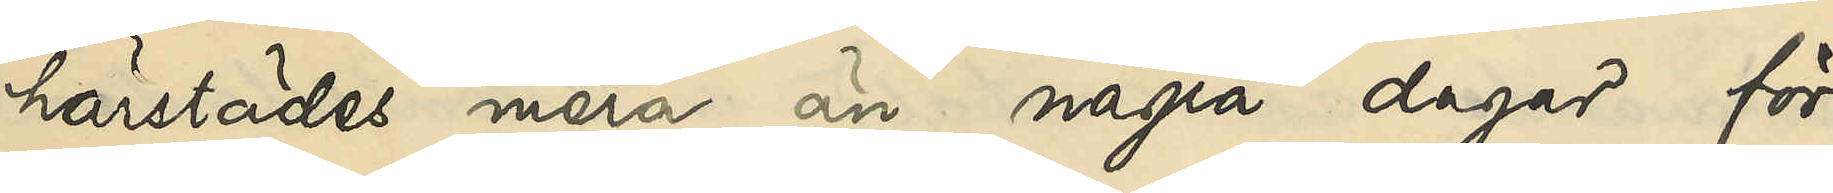härstädes mera än några dagar för
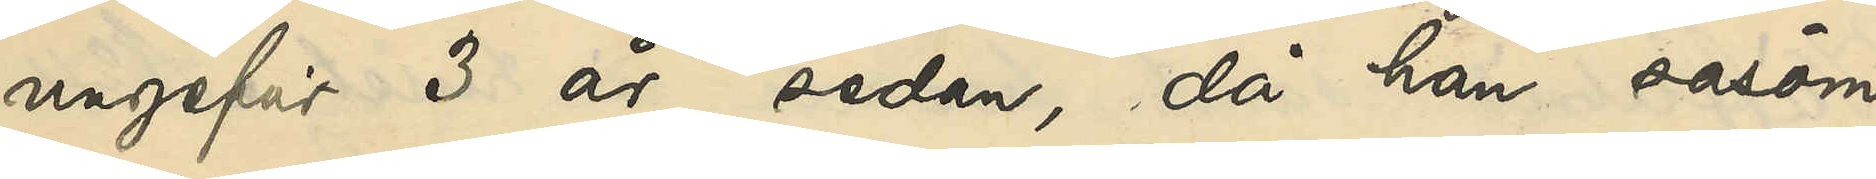ungefär 3 år sedan, då han såsom
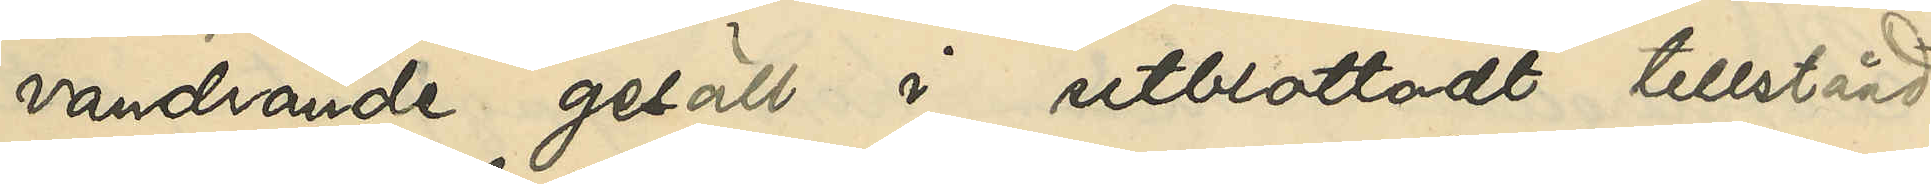vandrande gesäll i utblottadt tillstånd
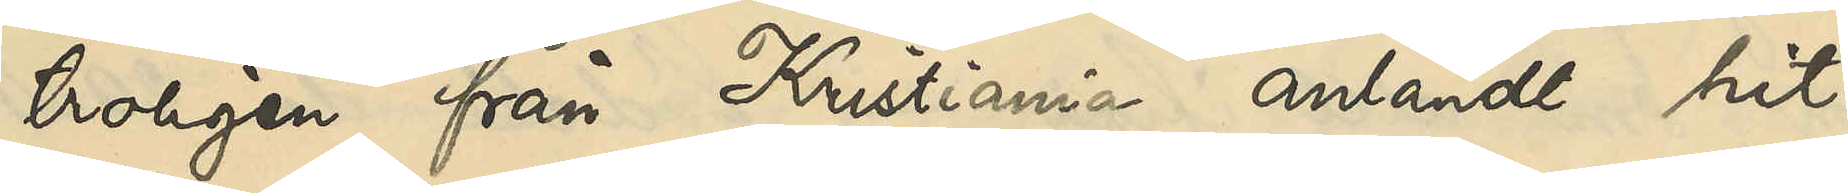troligen från Kristiania anländt hit
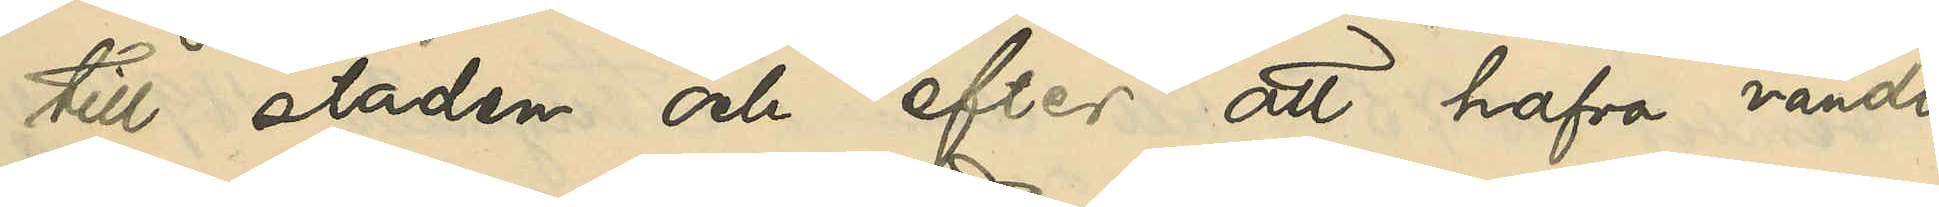till staden och efter att hafva vändt
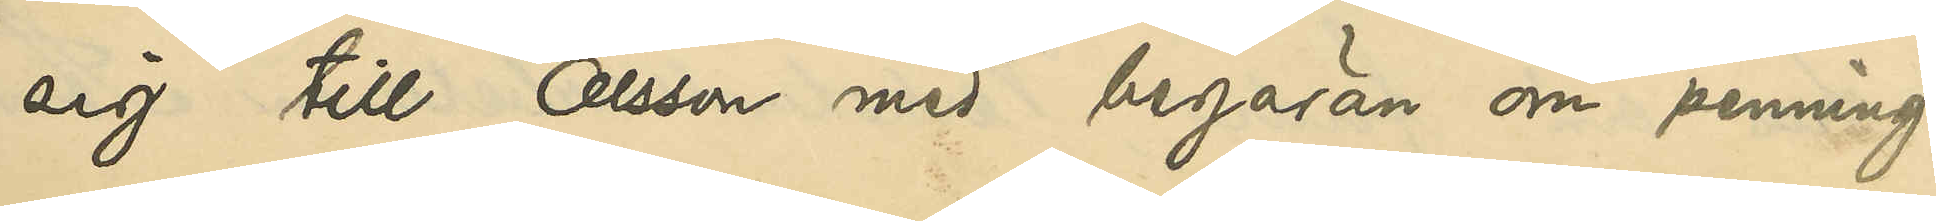sig till Olsson med begäran om penning¬
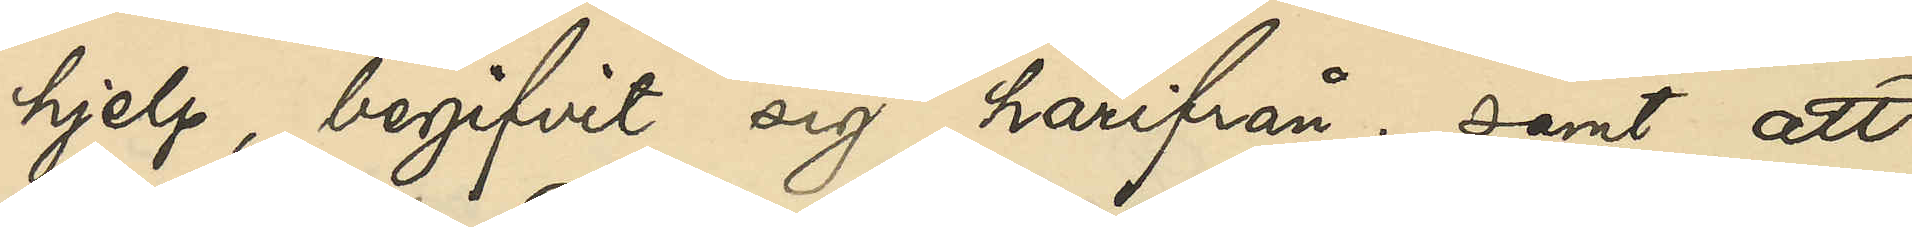hjelp, begifvit sig härifrån; samt att
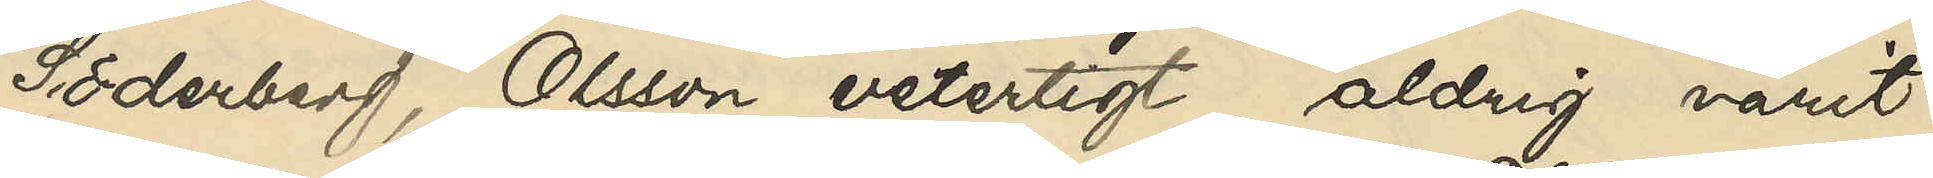Söderberg, Olsson veterligt, aldrig varit
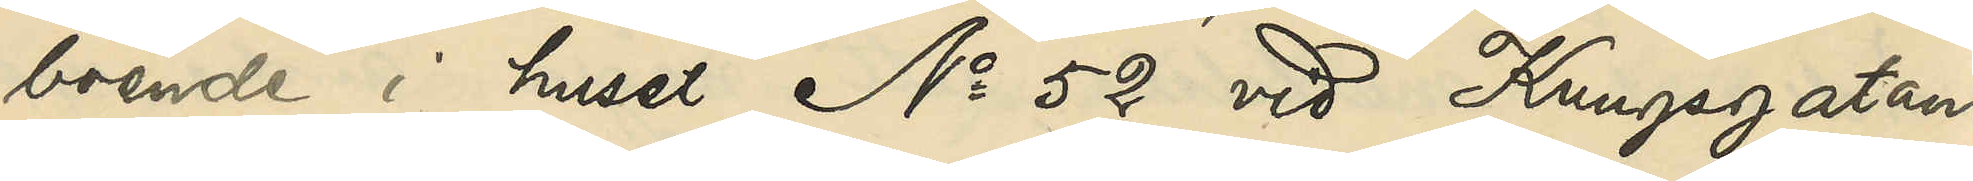boende i huset No 52 vid Kungsgatan
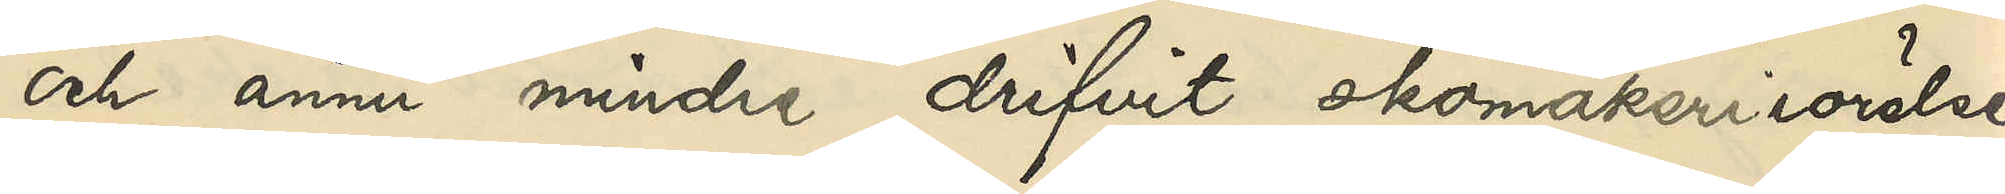och ännu mindre drifvit skomakerirörelse
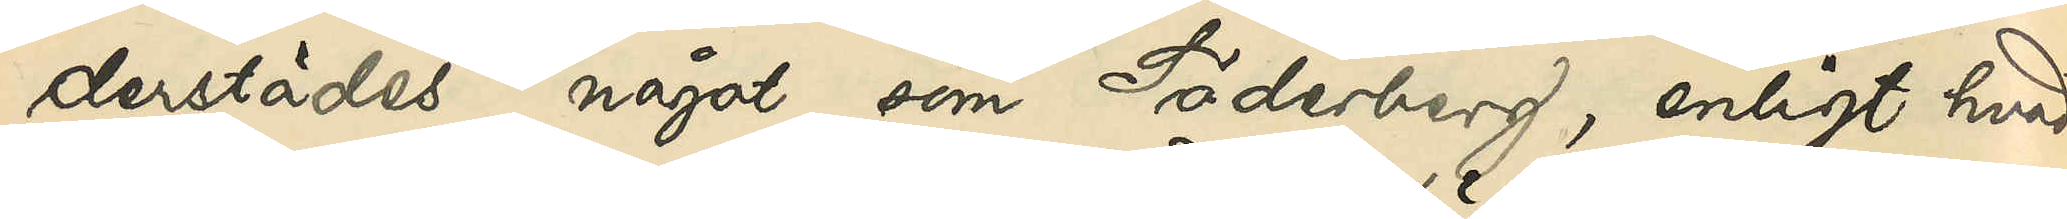derstädes, något som Söderberg, enligt hvad
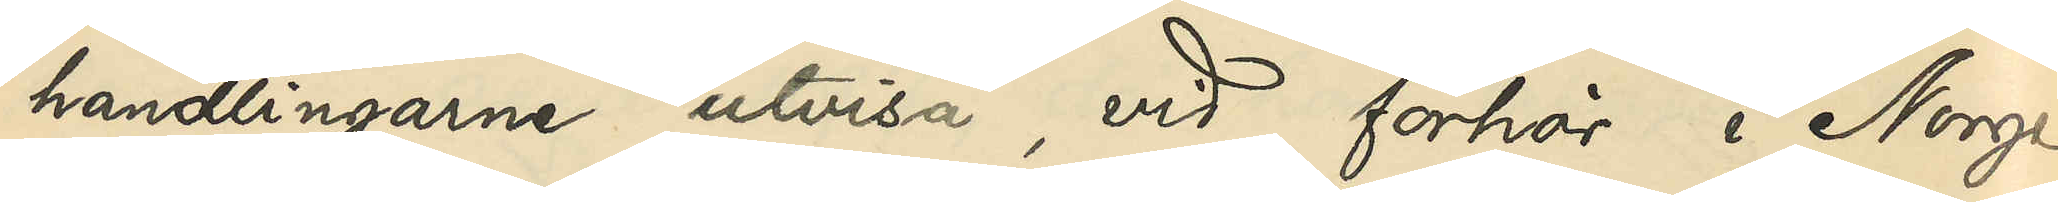handlingarne utvisa, vid förhör i Norge
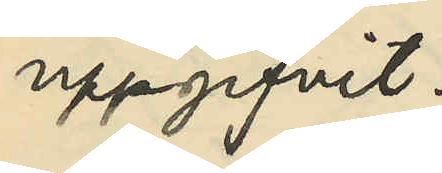uppgifvit.
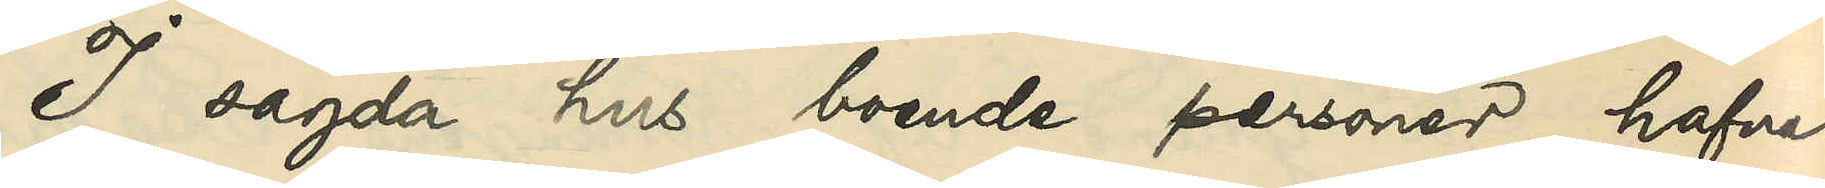I sagda hus boende personer hafva
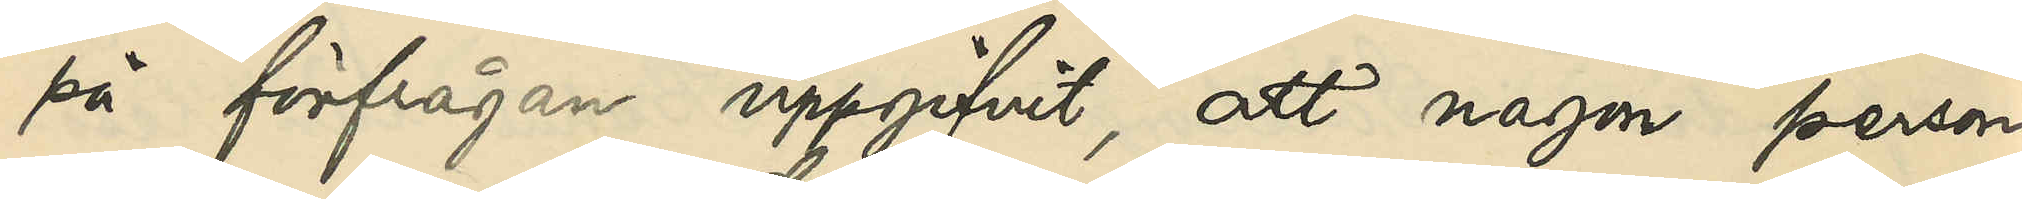på förfrågan uppgifvit, att någon person
